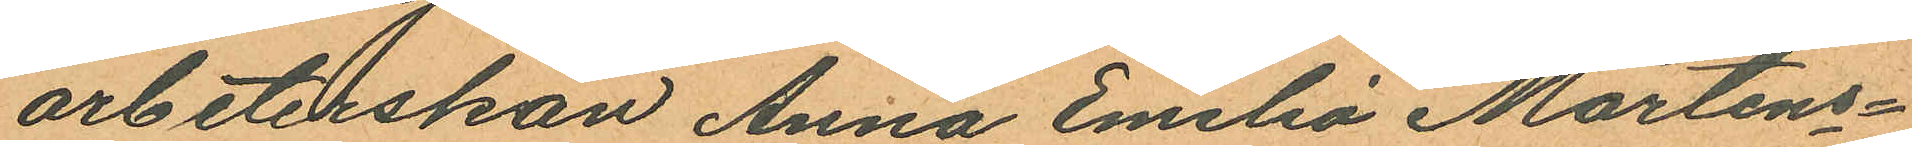arbeterskan Anna Emelia Mårtens¬
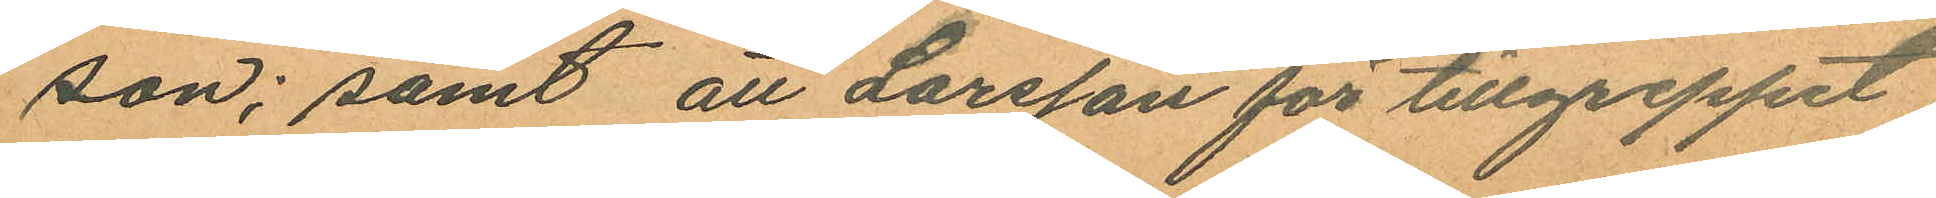son; samt att Larsson för tillgreppet
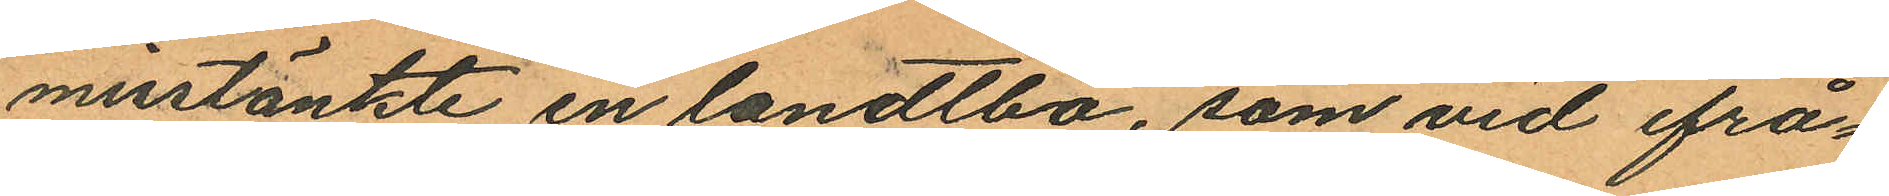misstänkte en landtbo, som vid ifrå¬
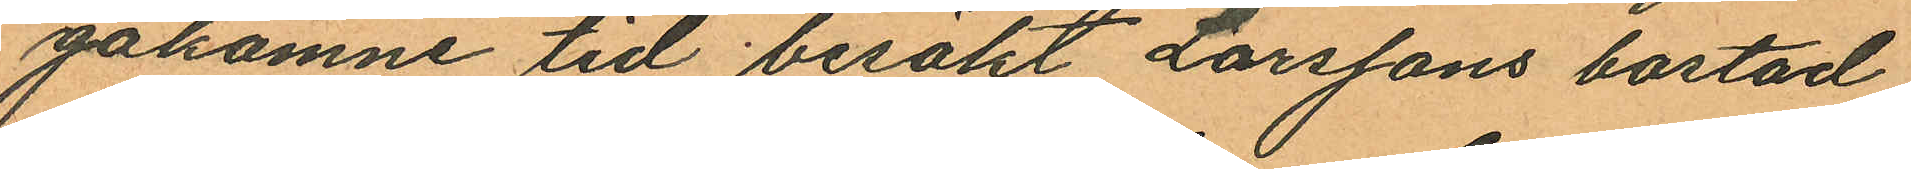gakomne tid besökt Larssons bostad
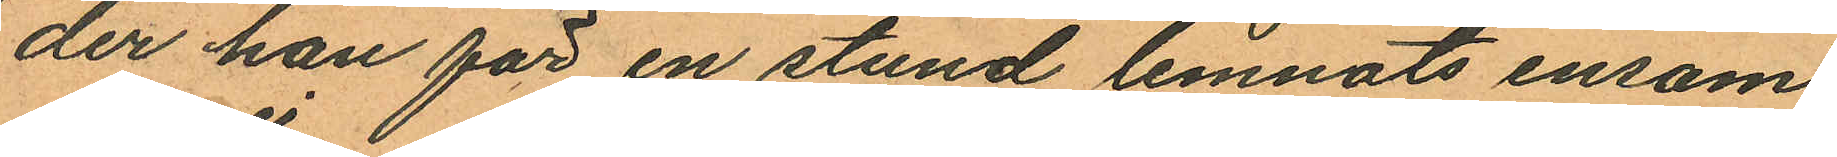der han för en stund lemnats ensam
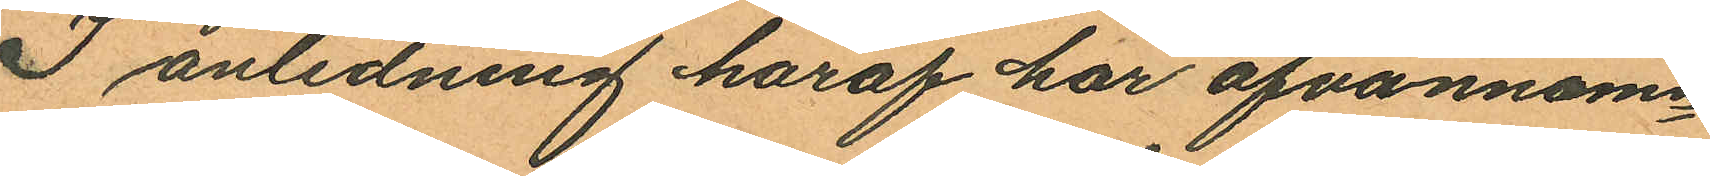I anledning häraf har ofvannämn¬
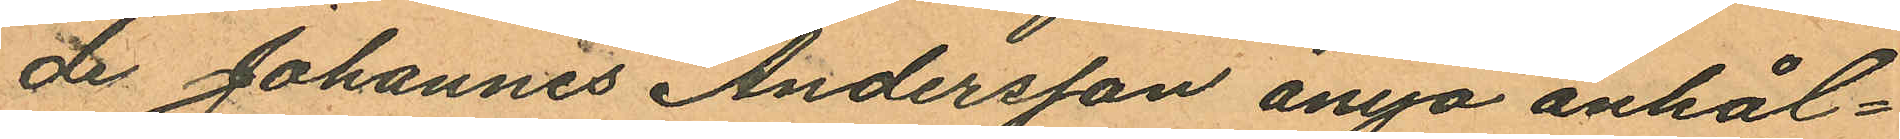de Johannes Andersson ånyo anhål¬
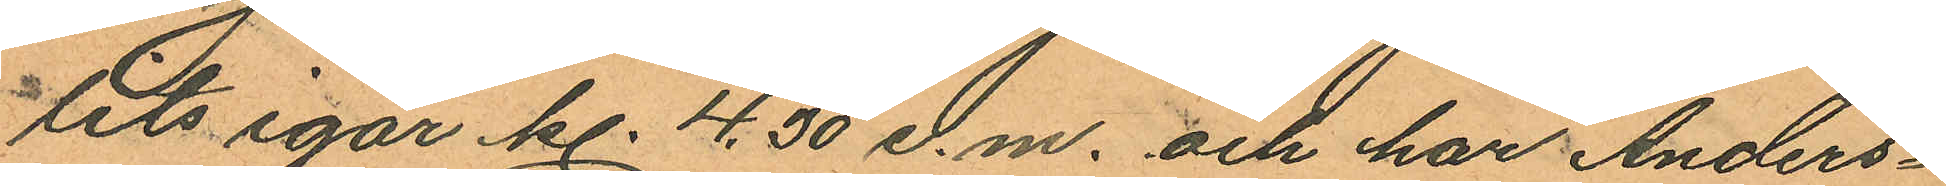lits igår kl. 4,30 e.m. och har Anders¬
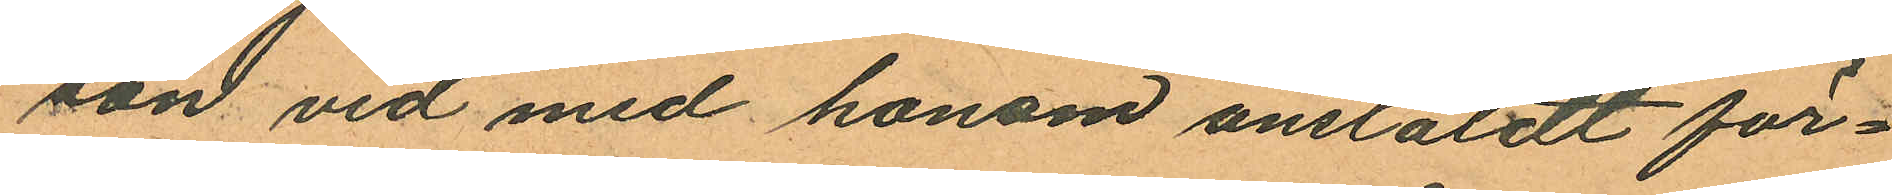son vid med honom anstäldt för¬
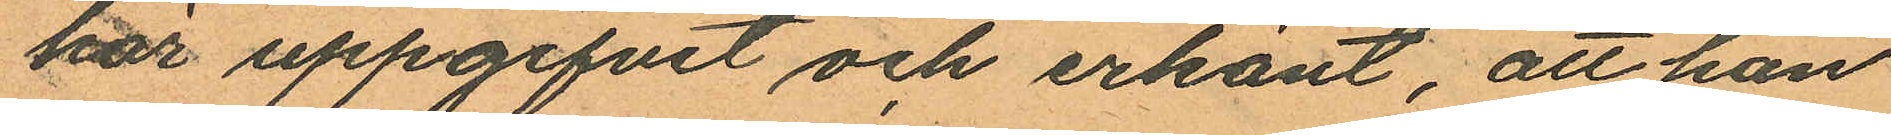hör uppgifvit och erkänt, att han
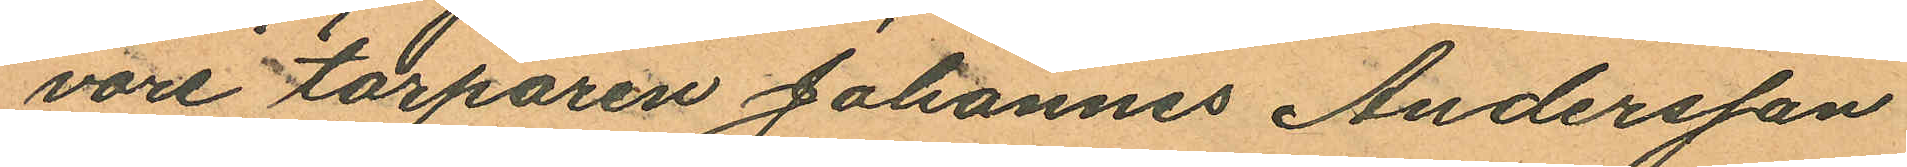vore torparen Johannes Andersson
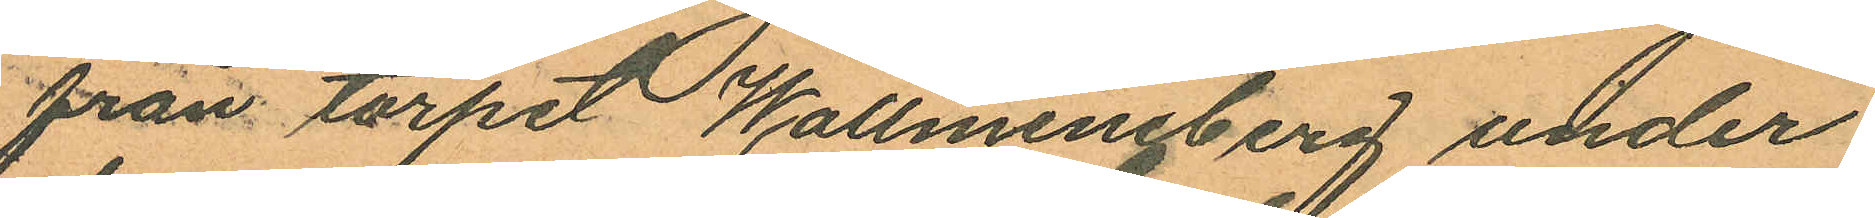från torpet Wallmineberg under
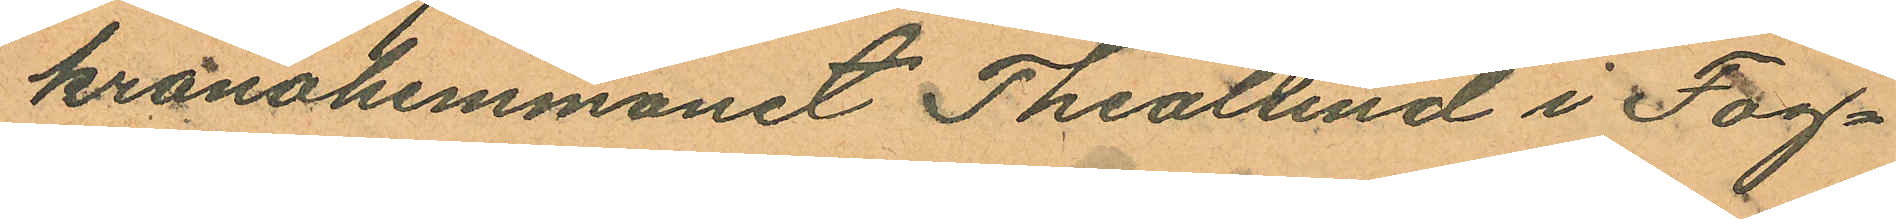kronohemmanet Thealund i Fog¬
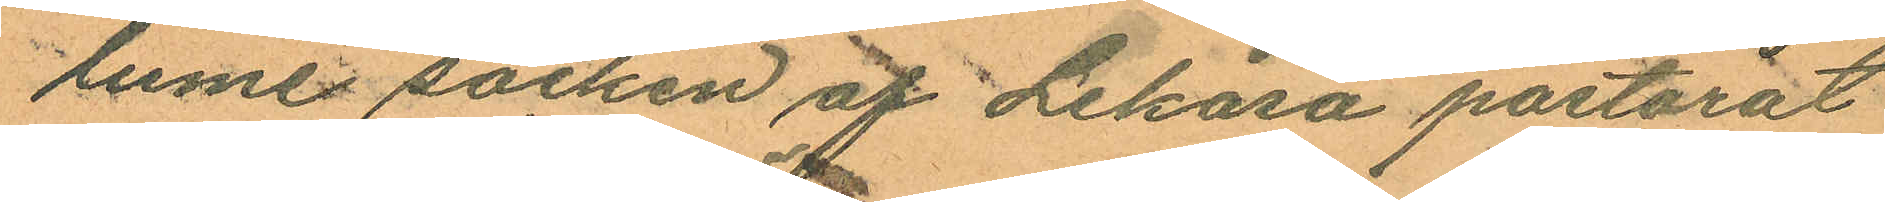lume socken af Lekåsa pastorat
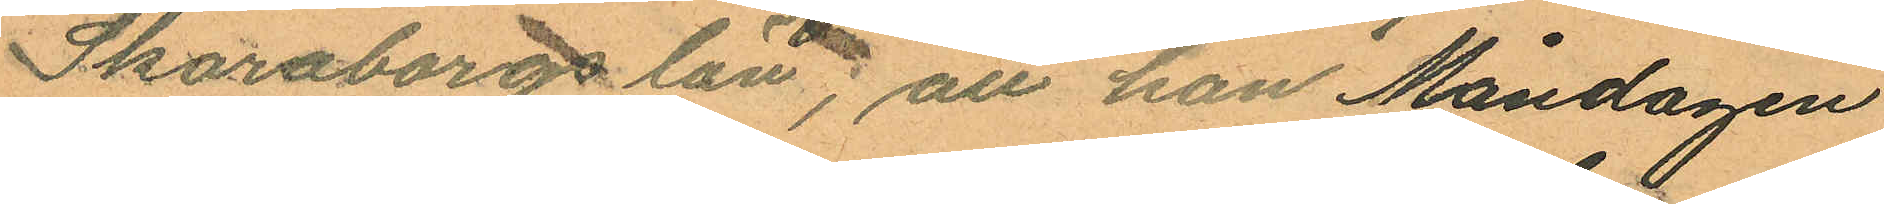Skaraborgs län; att han Måndagen
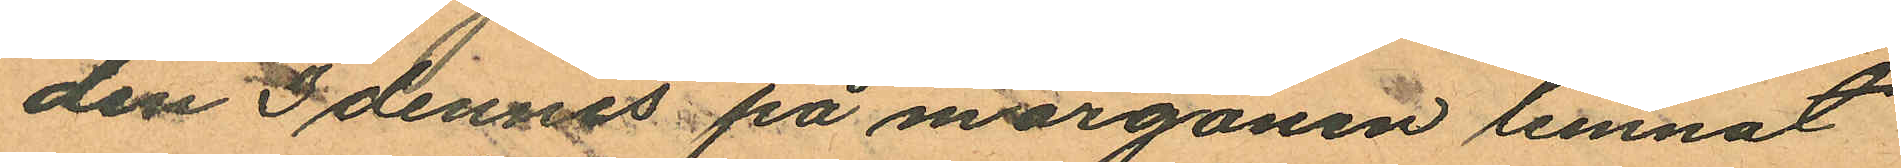den 3 dennes på morgonen lemnat
